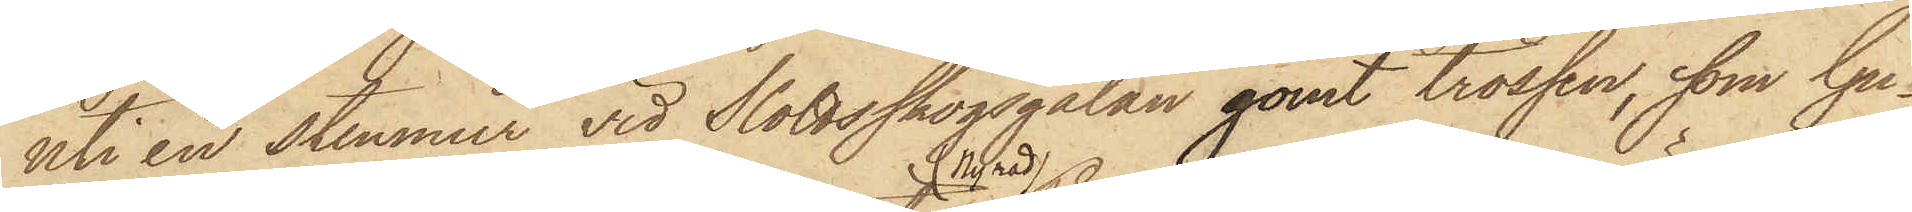uti en stenmur vid Slottsskogsgatan gömt trossen, som Gu¬
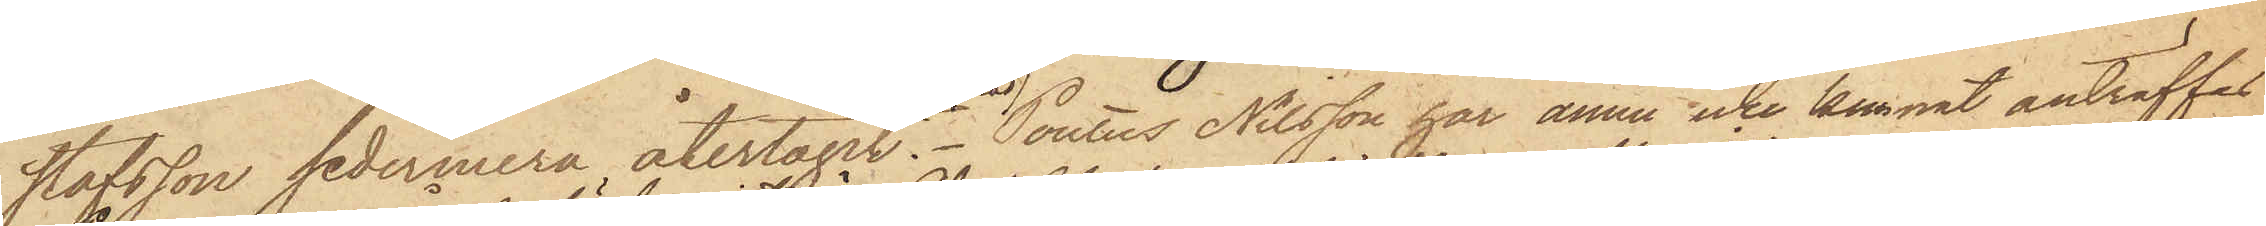stafsson sedermera återtagit. Pontus Nilsson har ännu icke kunnat anträffas.
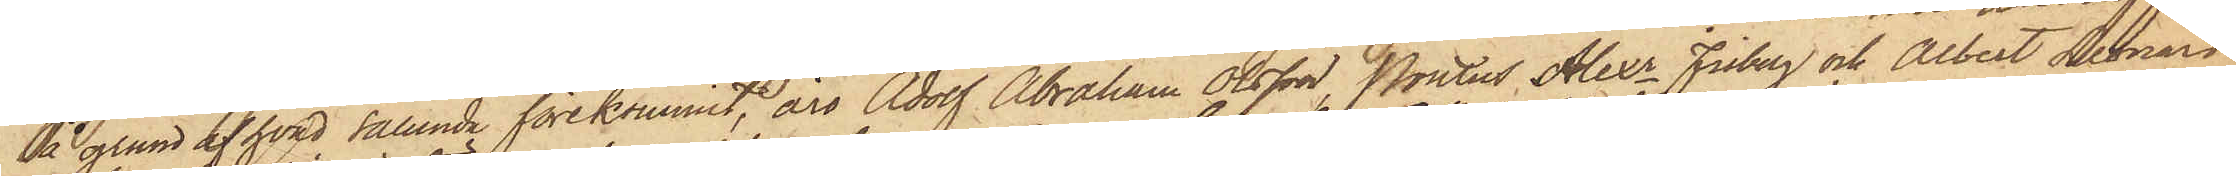På grund af hvad sålunda förekommit, äro Adolf Abraham Olsson, Pontus Alexr Friberg och Albert Leonard
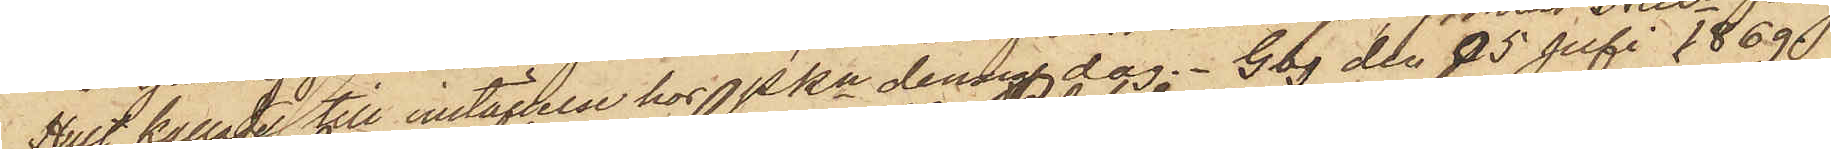Hult kallade till inställelse hos Pkn denna dag. Gbg den 05 Juli 1869.
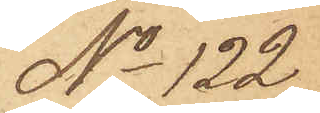No 122
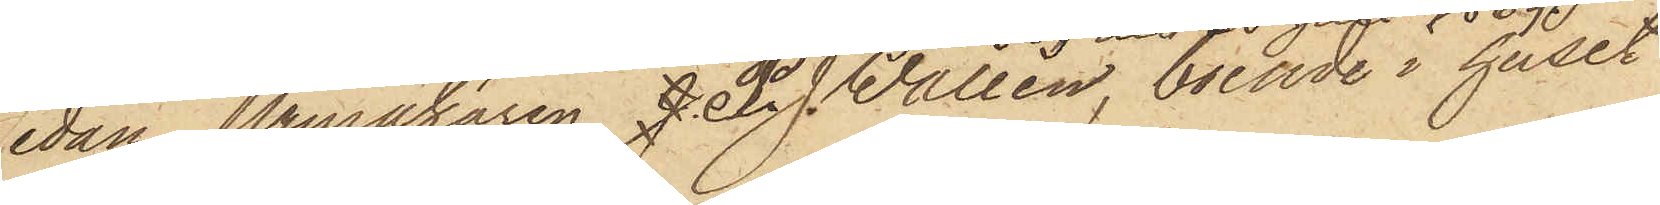Sedan Urmakaren J. P. J. Wallén, boende i huset
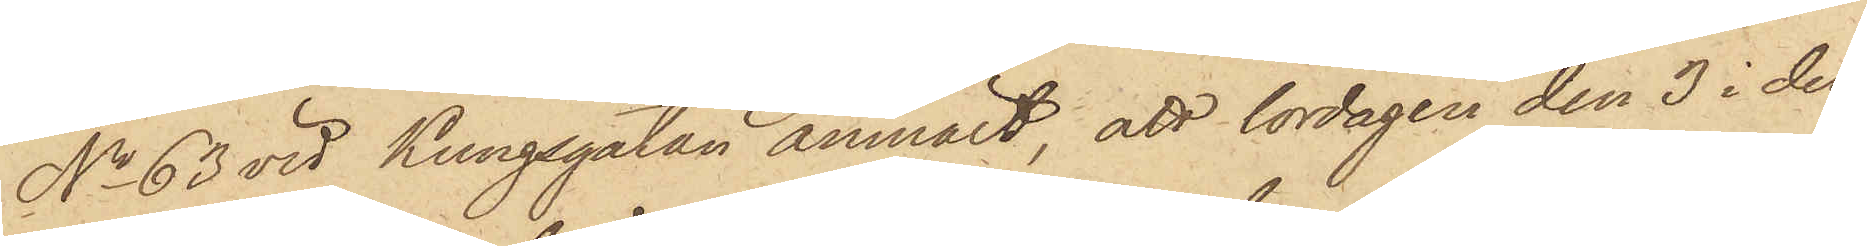No 63 vid Kungsgatan anmält, att lördagen den 3 i den¬
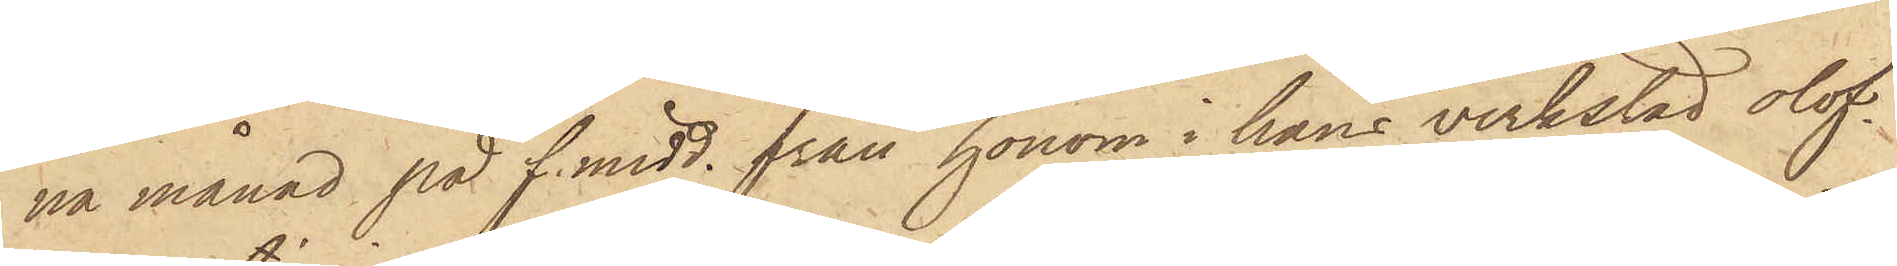na månad på f. midd. från honom i hans verkstad olof¬
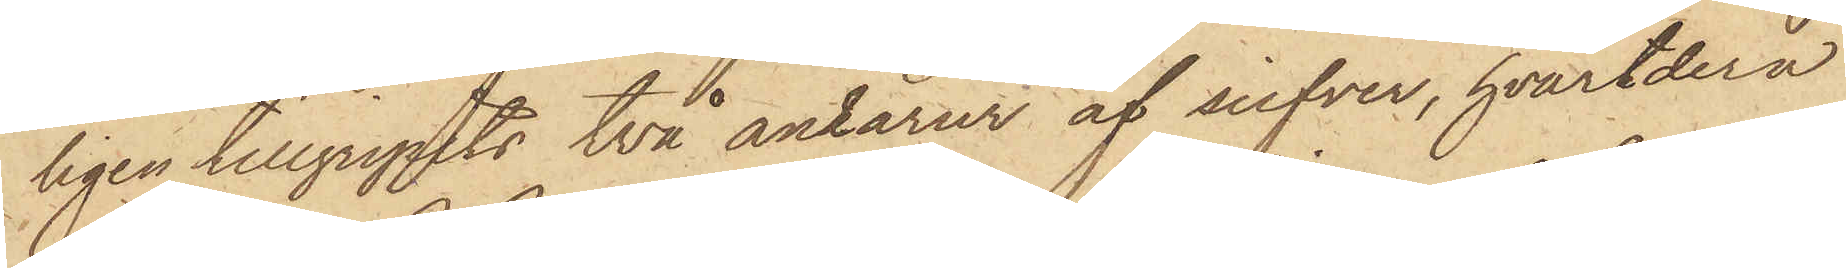ligen tillgripits två ankarur af silfver, hvardera
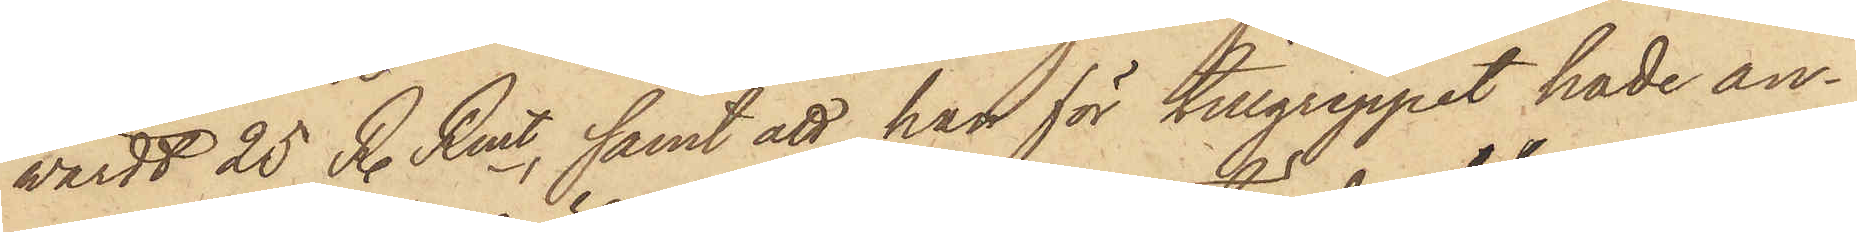värdt 25 R. Rmt, samt att han för tillgreppet hade an¬
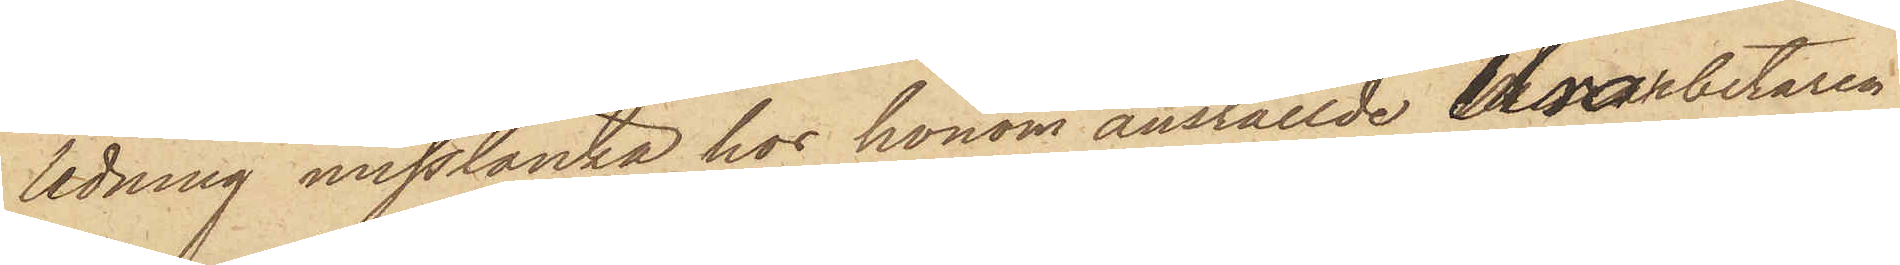ledning misstänka hos honom anställde Urarbetaren
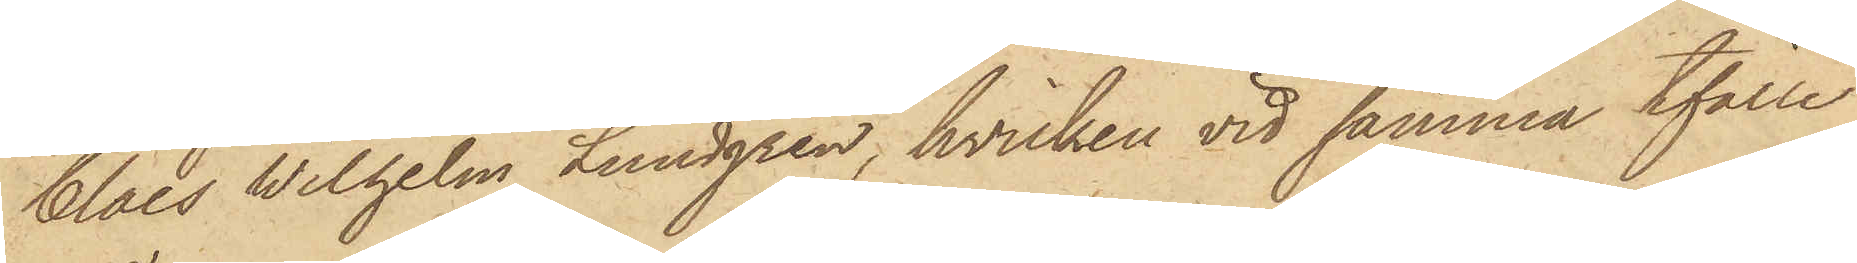Claes Wilhelm Lundgren, hvilken vid samma tfälle
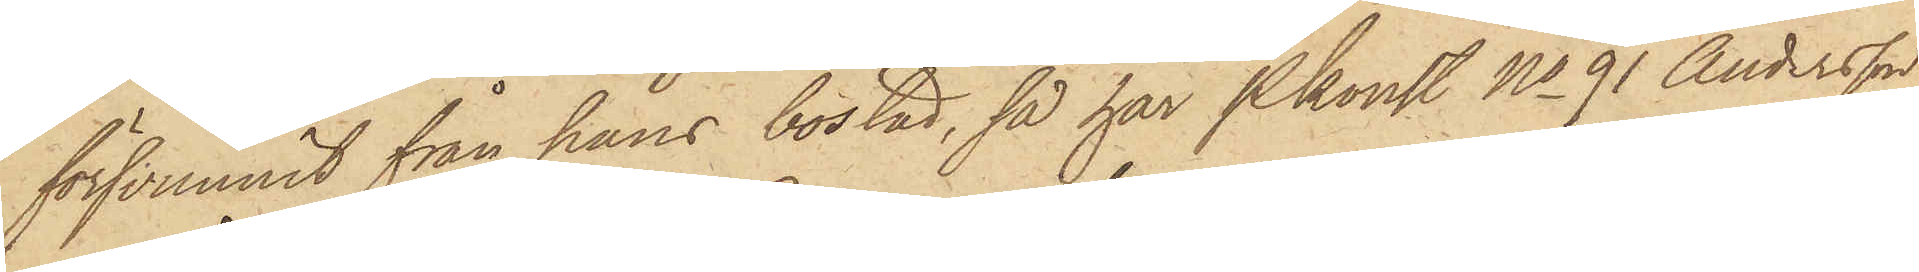försvunnit från hans bostad, så har Pkonst No 91 Andersson
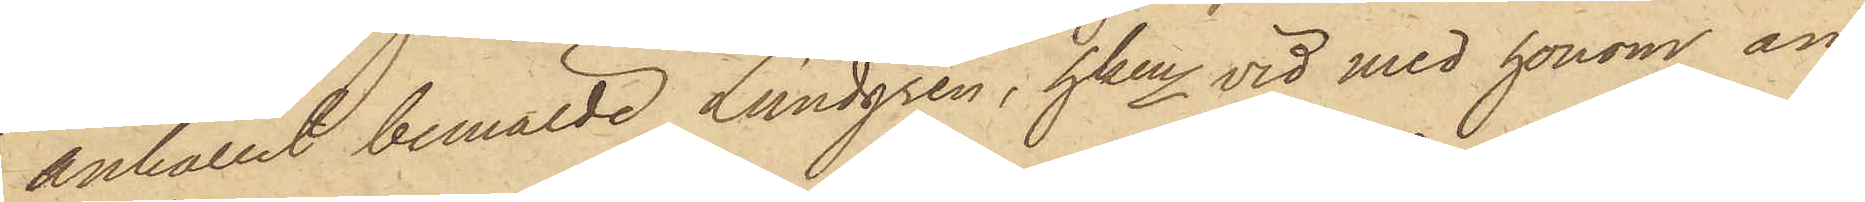anhållit bemälde Lundgren, hken vid med honom an¬
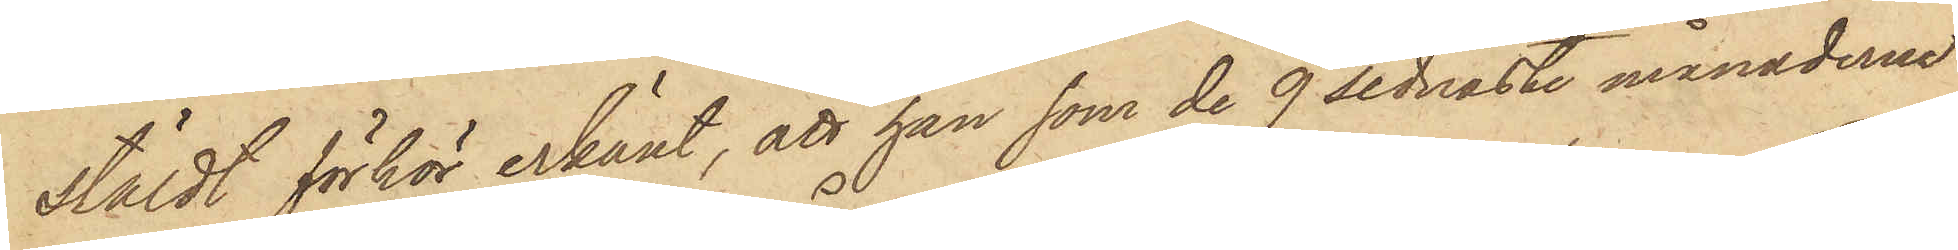stäldt förhör erkänt, att han som de 9 sednaste månaderne
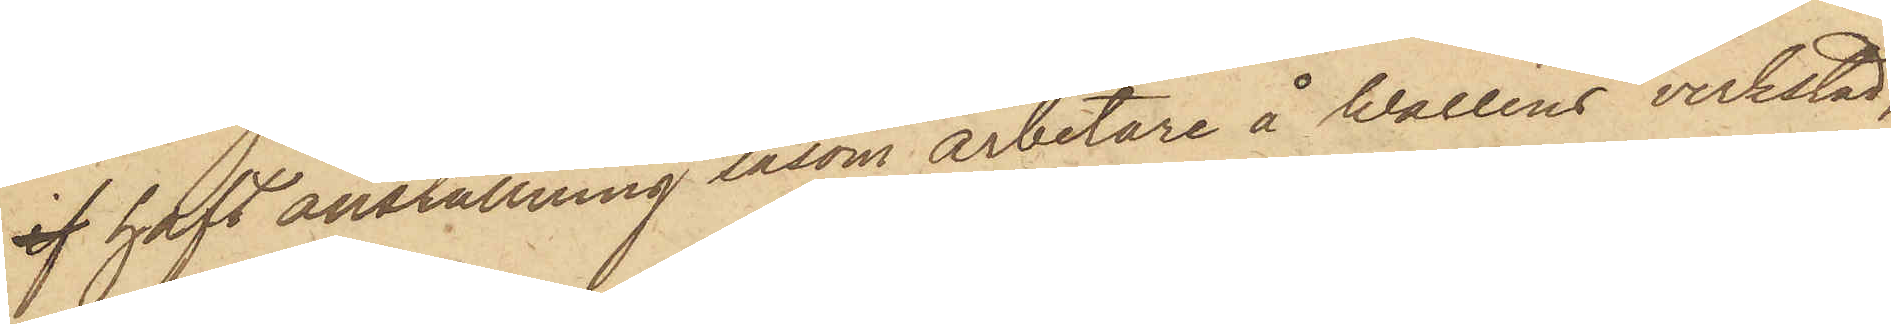if haft anställning såsom arbetare å Walléns verkstad,
